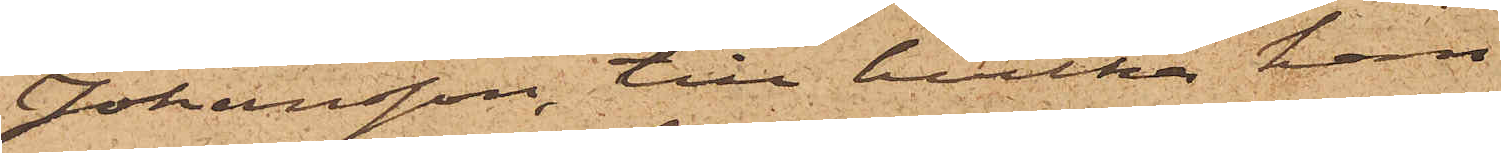Johansson, till hvilka han
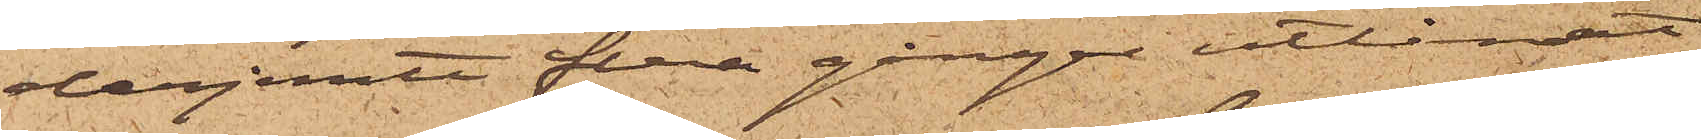derjemte flera gånger utlånat
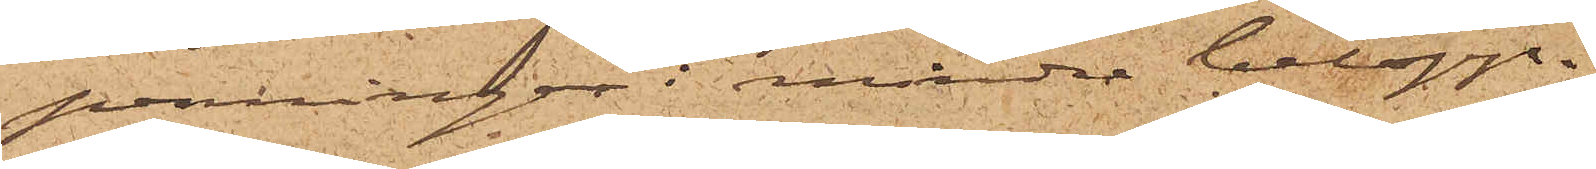penningar i mindre belopp.
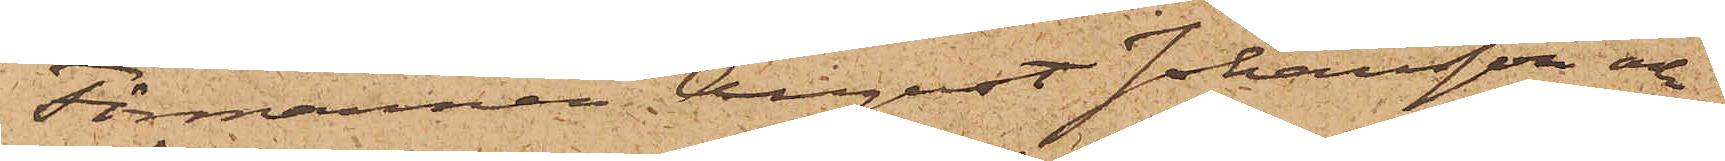Förmannen August Johansson och
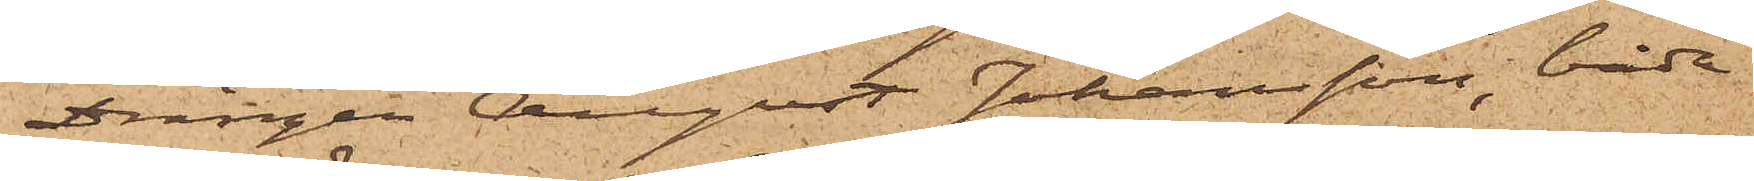Drängen August Johansson, båda
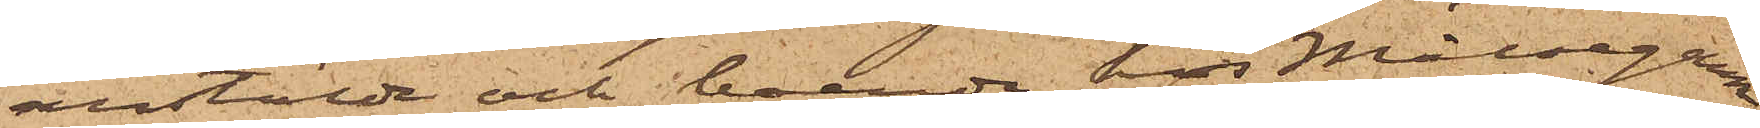anstälde och boende hos Målsegaren,
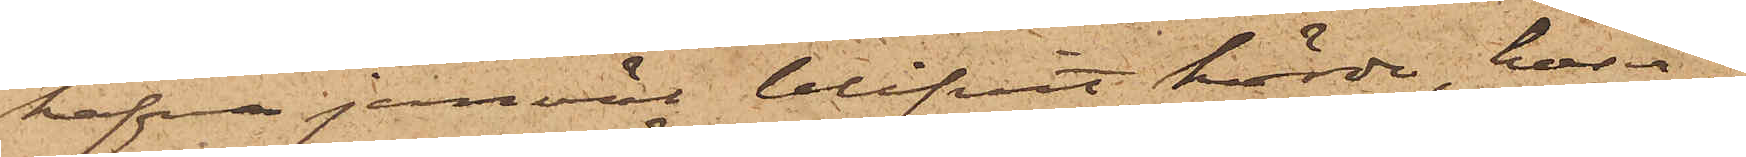hafva jemväl blifvit hörde hvar¬
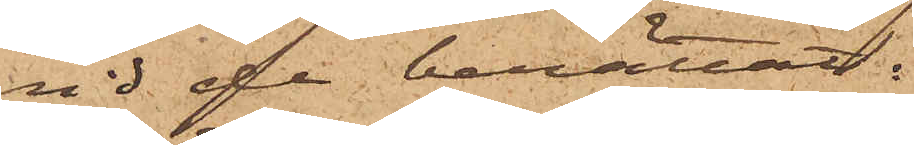vid de berättat:
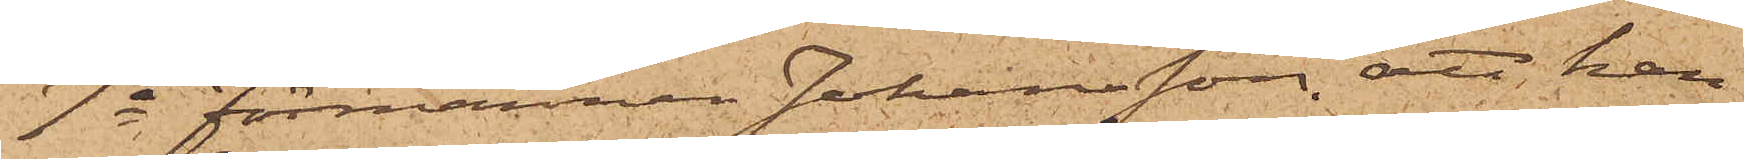1o Förmannen Johansson, att han
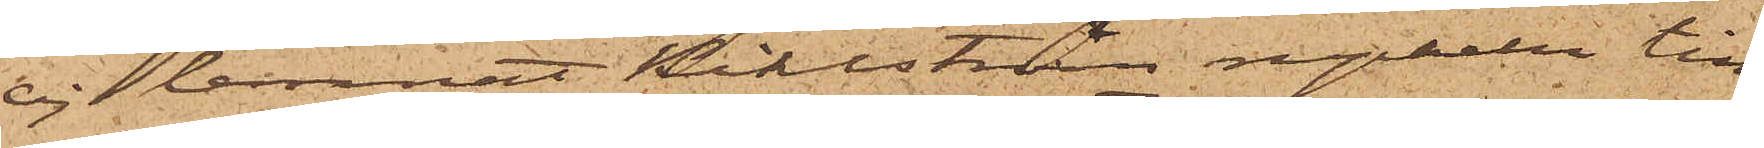ej lemnat Kihlström nyckeln till
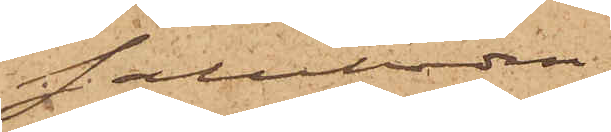saluboden,
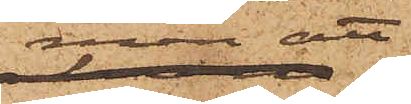men att
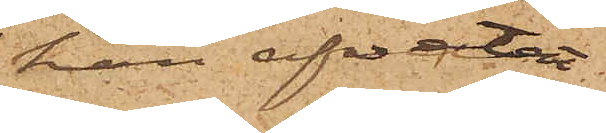han afvetat
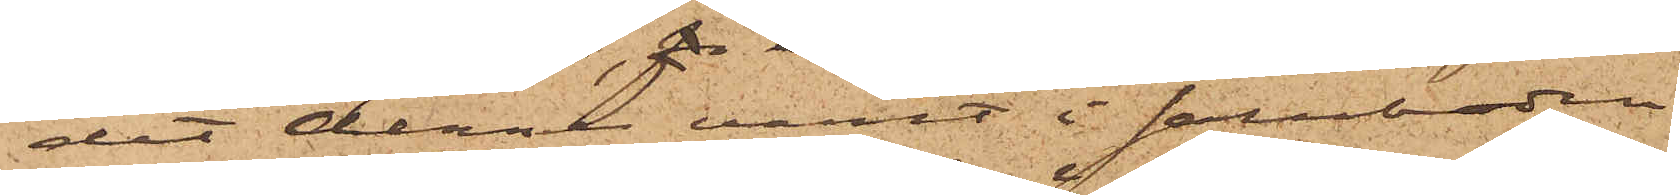det denne varit i saluboden
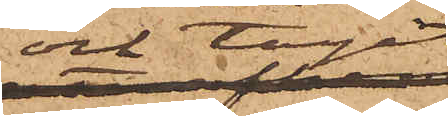och tagit
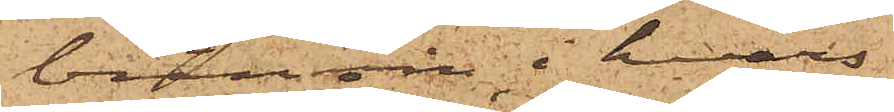bränvin i hvars
